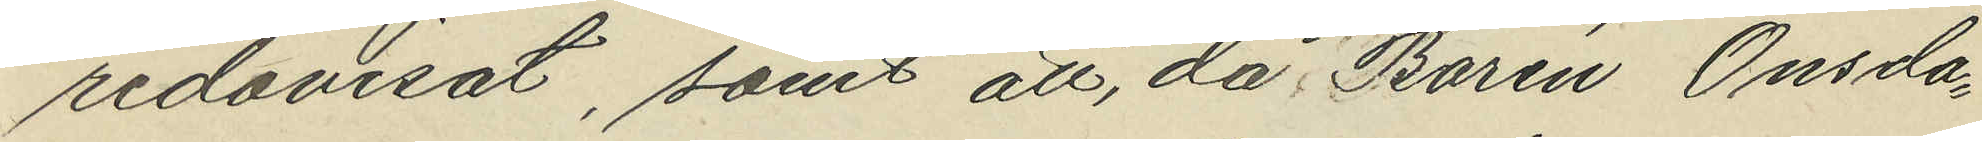redovisat, samt att, då Bohrin Onsdag
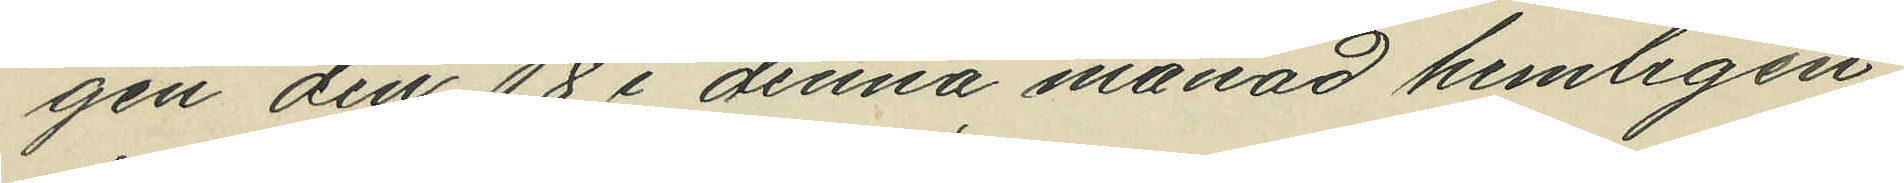gen den 18 i denna månad hemligen
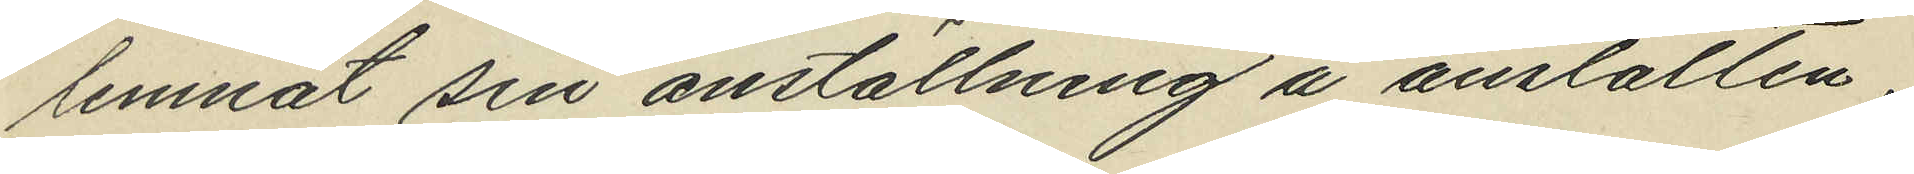lemnat sin anställning å anstalten
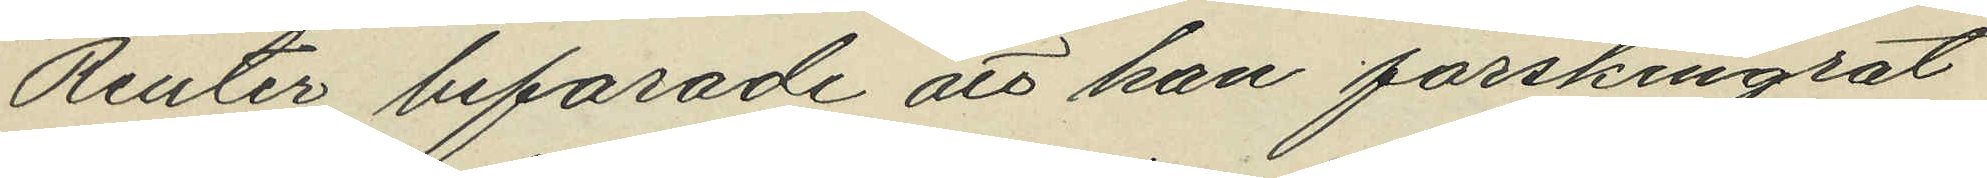Reuter befarade att han förskingrat
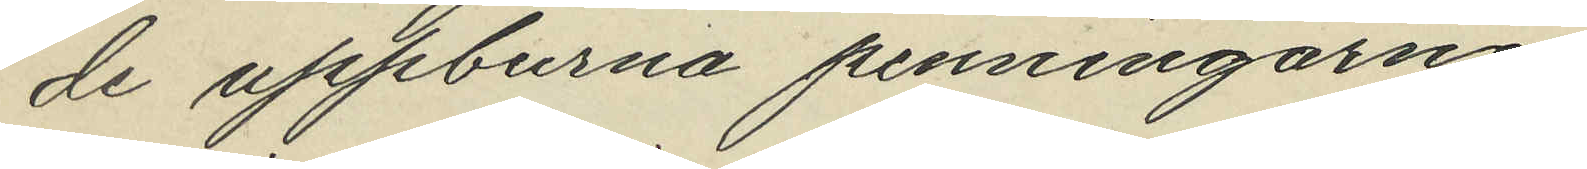de uppburna penningarne.
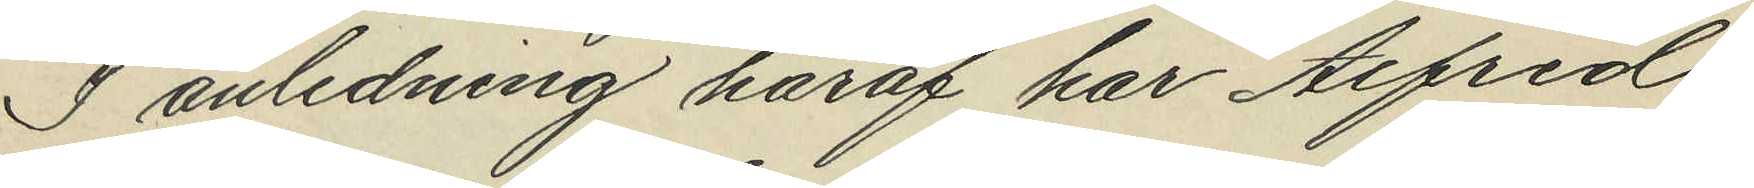I anledning häraf har Alfred
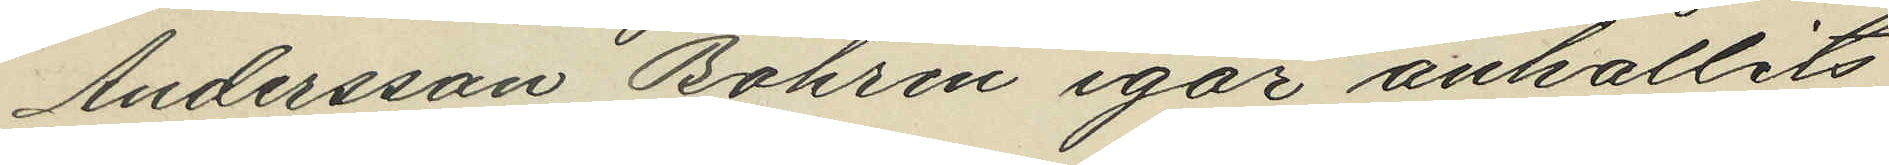Andersson Bohrin igår anhållits
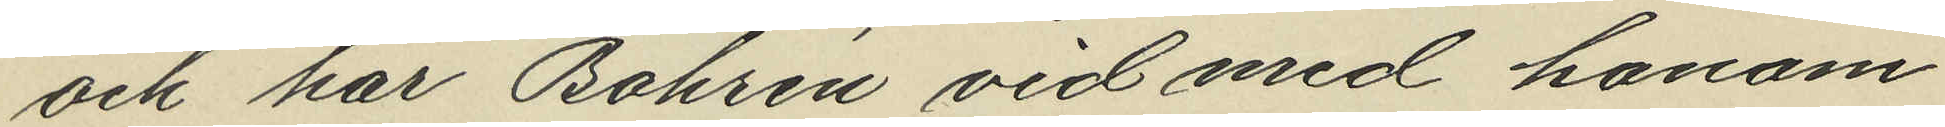och har Bohrin vid med honom
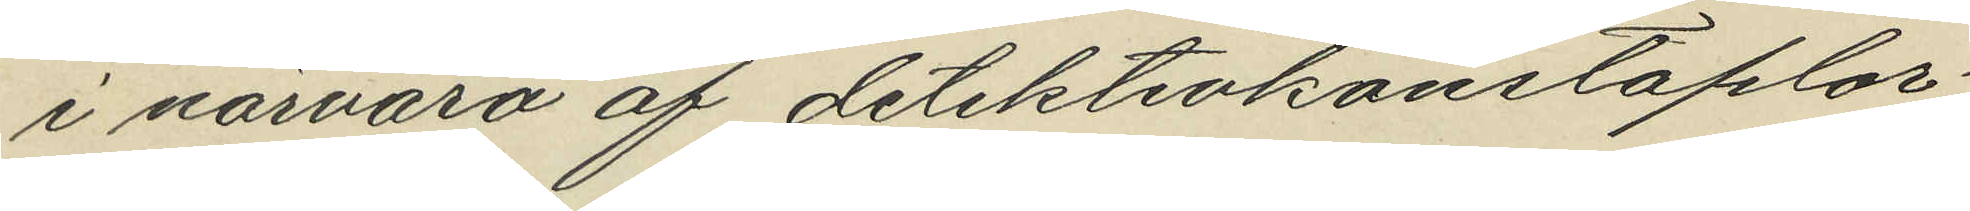i närvaro af detektivkonstaplar¬
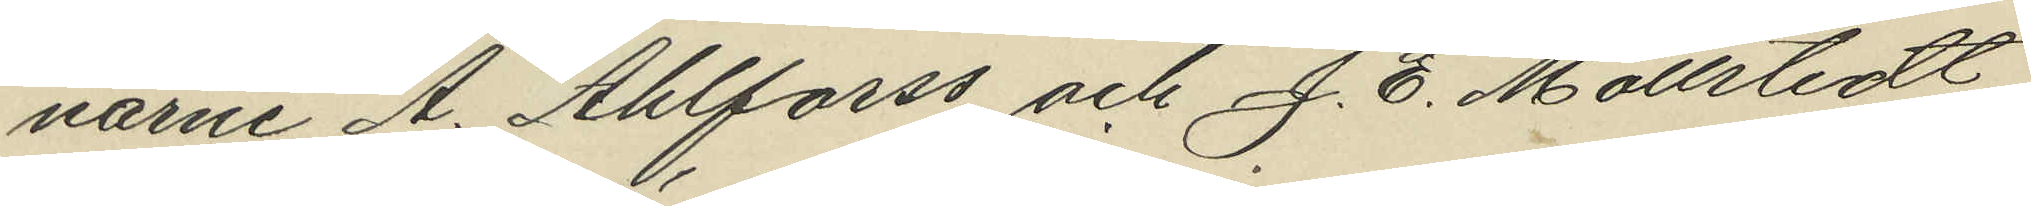narne A. Ahlforss och J. E. Mollstedt
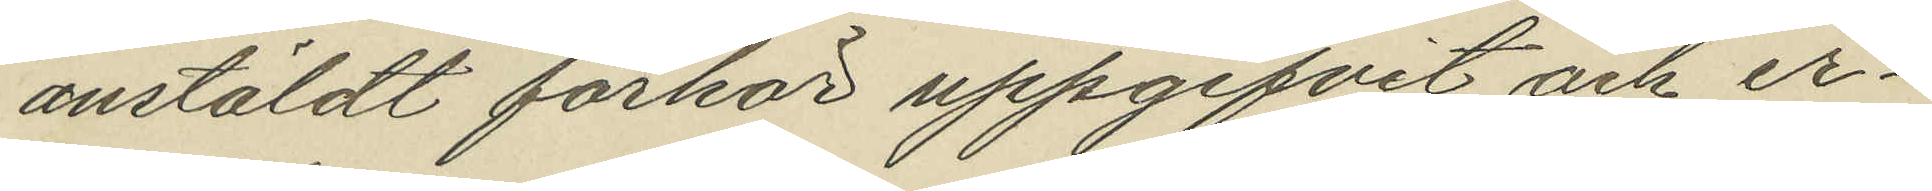anstäldt förhör uppgifvit och er¬
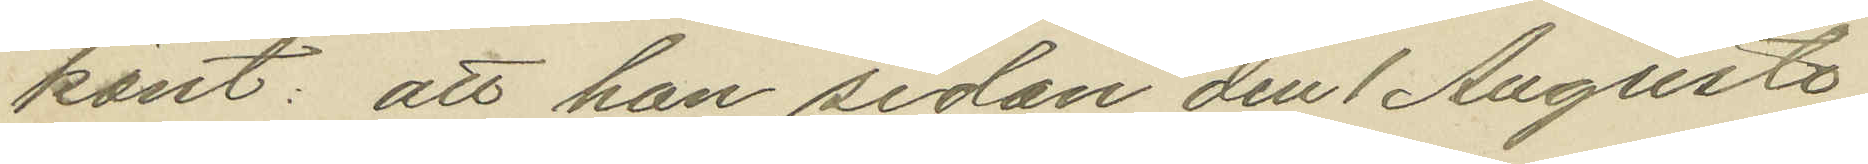känt: att han sedan den 1 Augusta
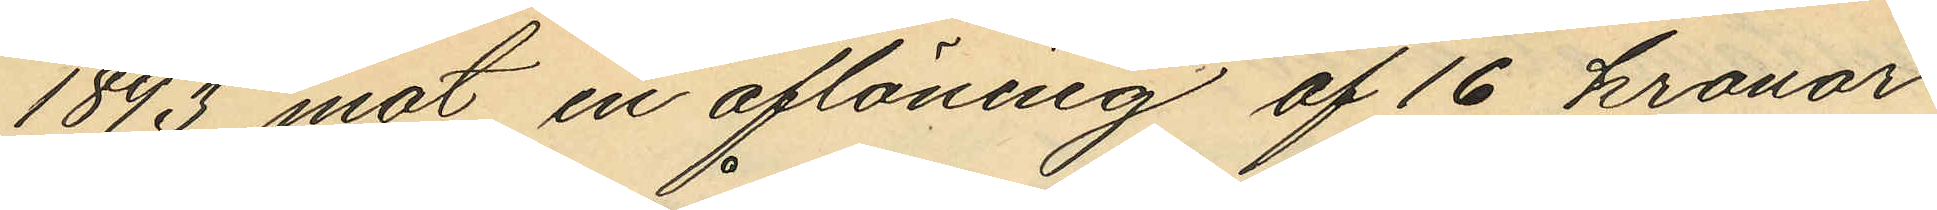1893 mot en aflöning af 16 kronor
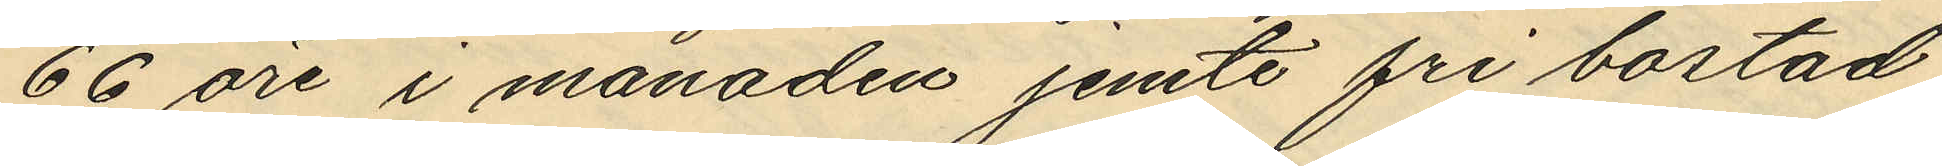66 öre i månaden jemte frå bostad
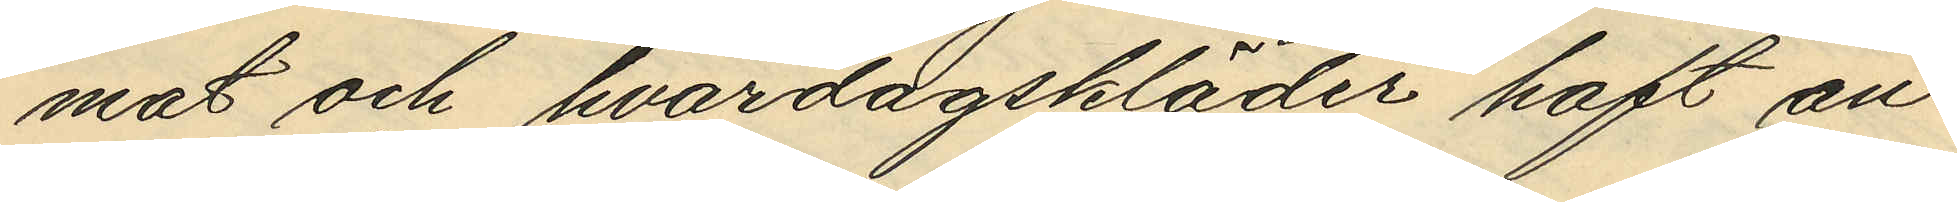mat och hvardagskläder haft an¬
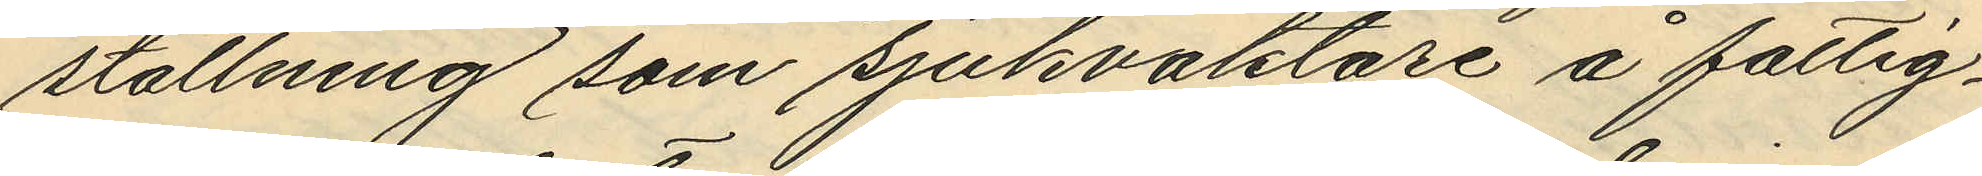stallning som sjukvaktare å fattig¬
